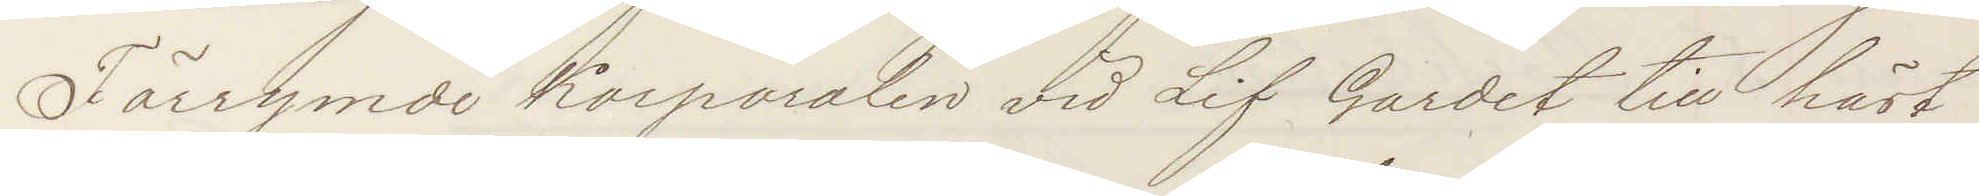Förrymde Korporalen vid Lif Gardet till häst
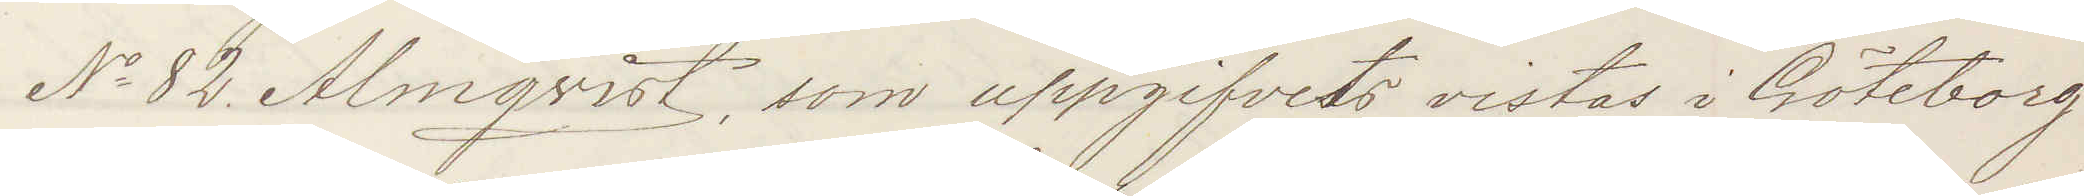No 82 Almqvist, som uppgifvits vistas i Göteborg
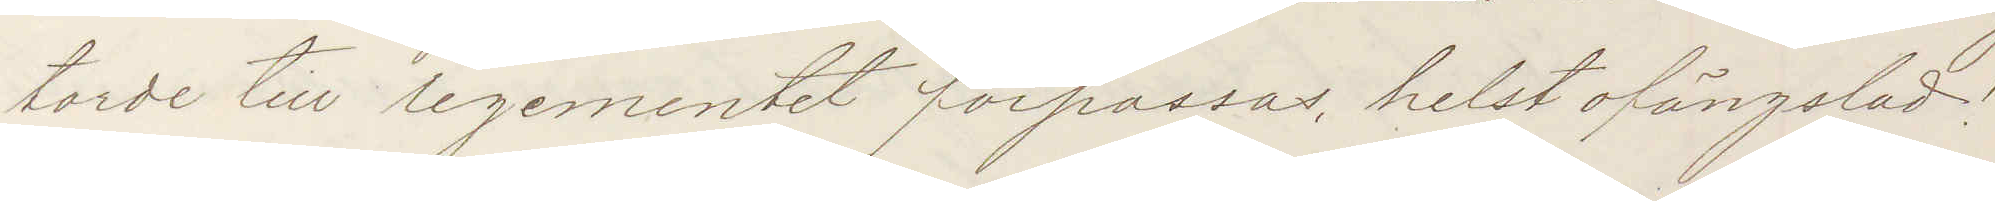torde till legementet förpassas helst ofängslad!
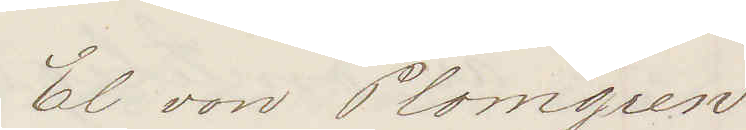El von Plomgren
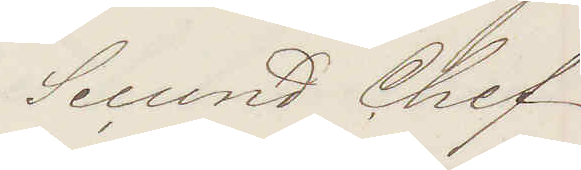Secund Chef
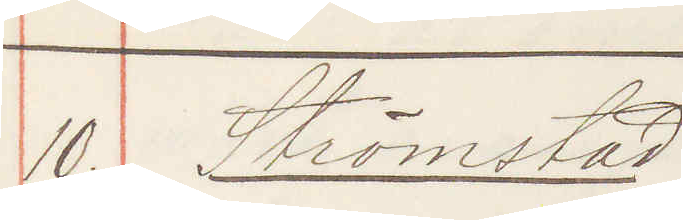10. Strömstad
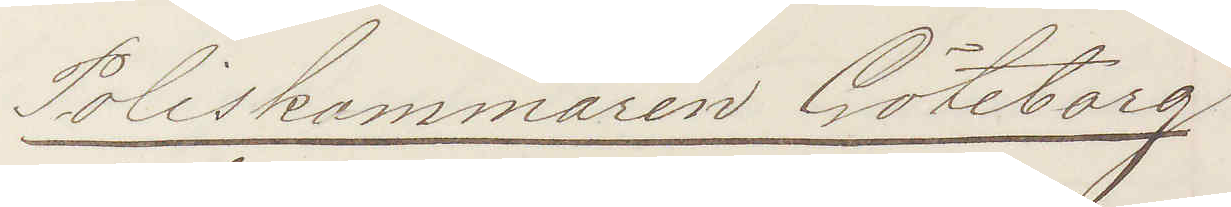Poliskammaren Göteborg
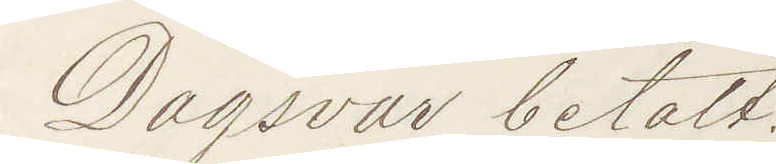Dagsvar betalt.
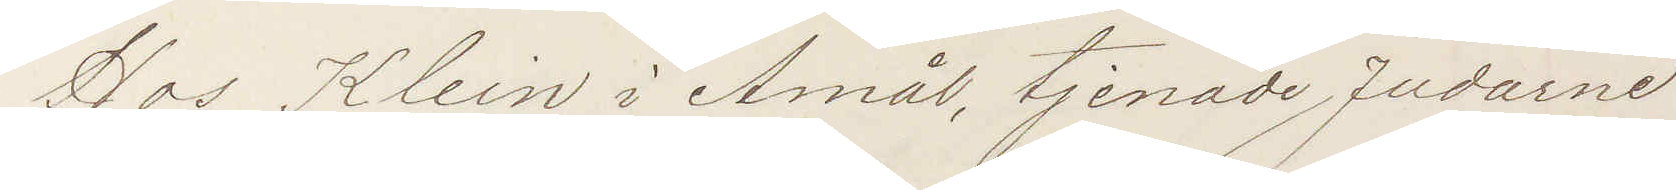Hos Klein i Åmål, tjenade Judarne
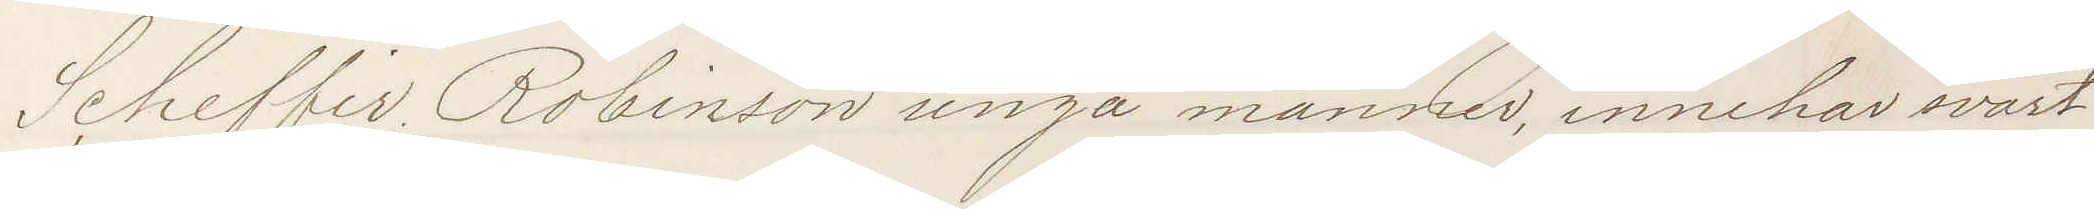Scheffir Robinson unga männer, innehar svart
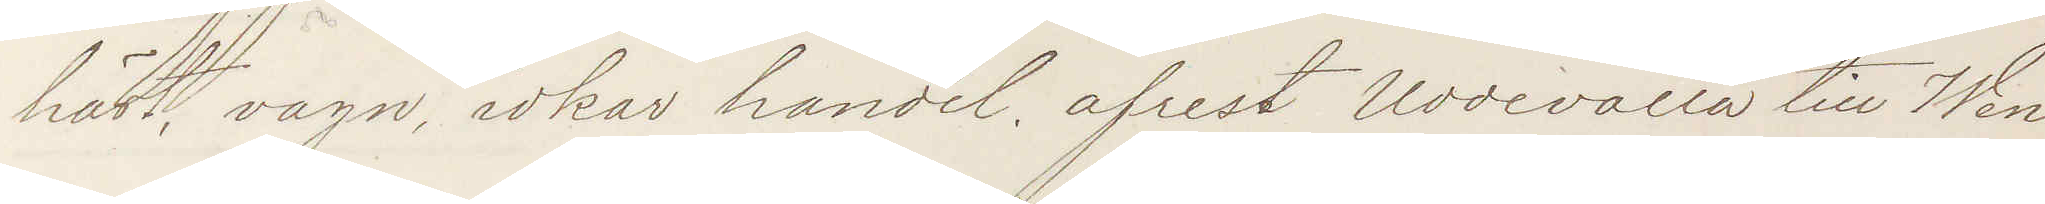häst, vagn, idkar handel. afrest Uddevalla till Wen¬
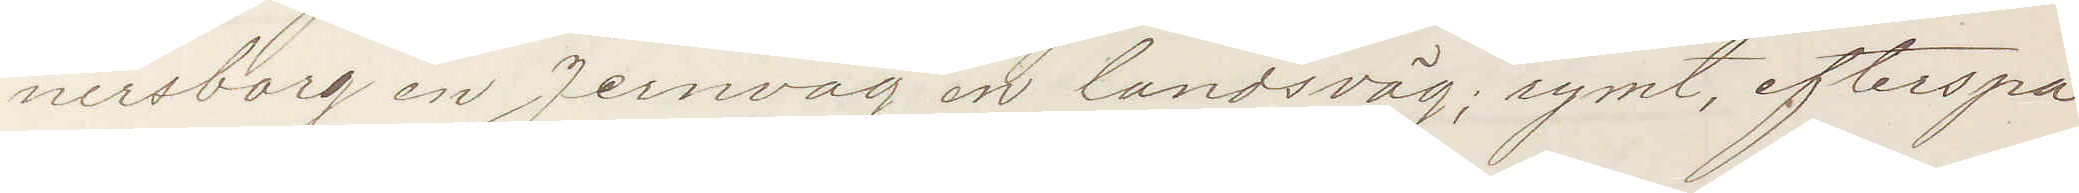nersborg en Jernväg en landsväg; rymt, efterspa¬
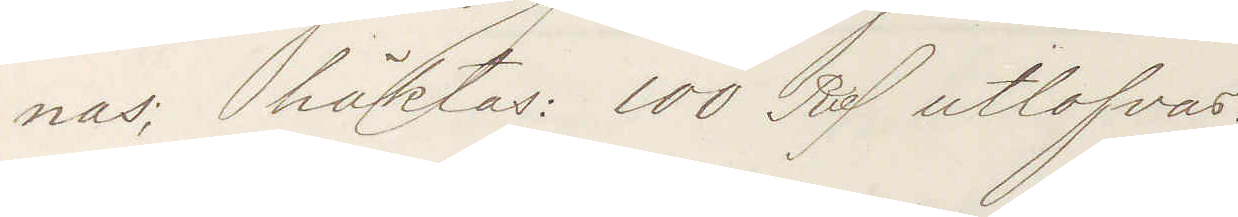nas; häktas: 100 Rd utlofvas.
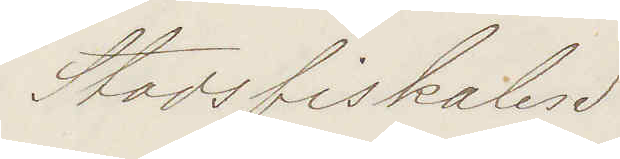Stadsfiskalen
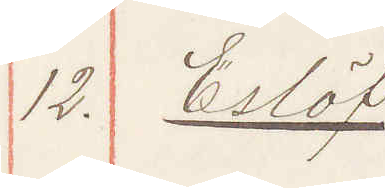12. Eslöf
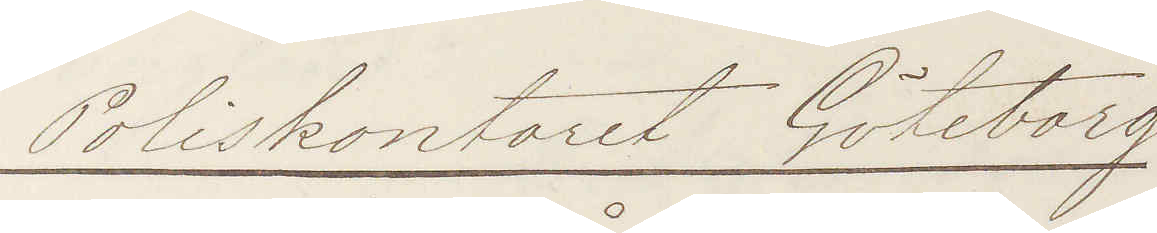Poliskontoret Göteborg
